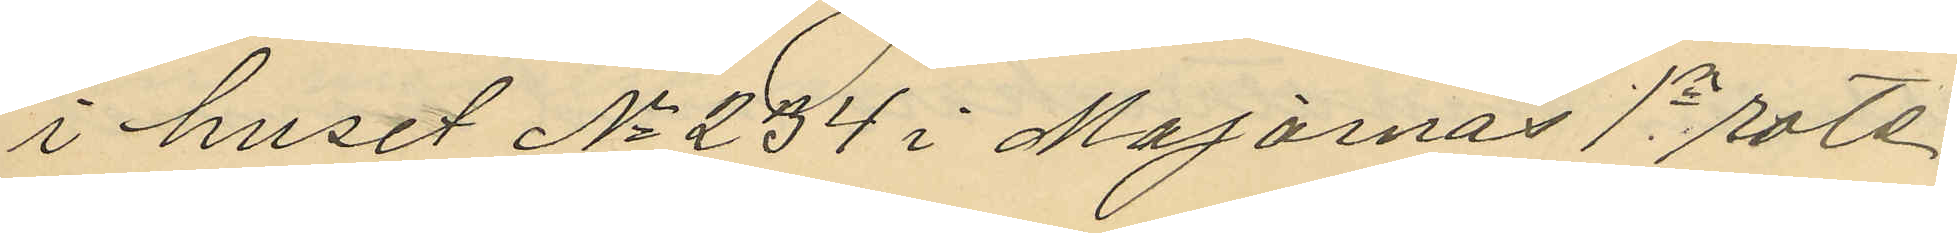i huset No 234 i Majornas 1a rote,
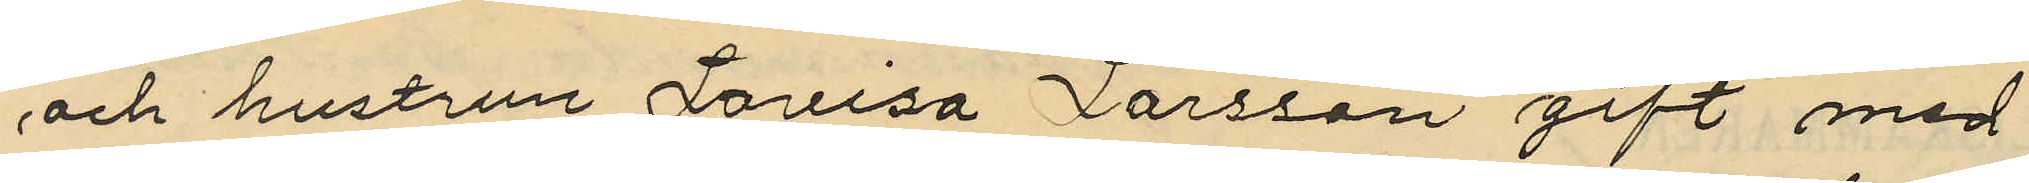och hustrun Laveisa Larsson gift med
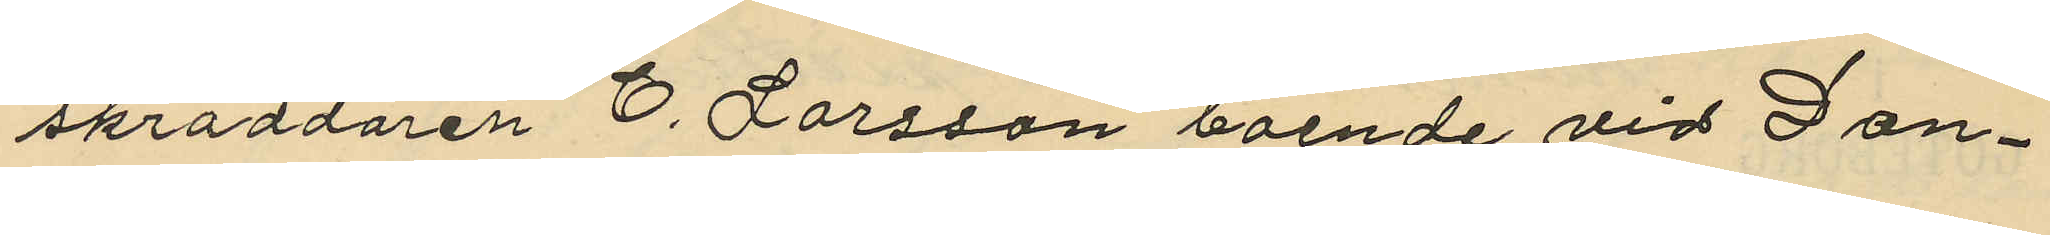skräddaren C. Larsson boende vid Dan¬
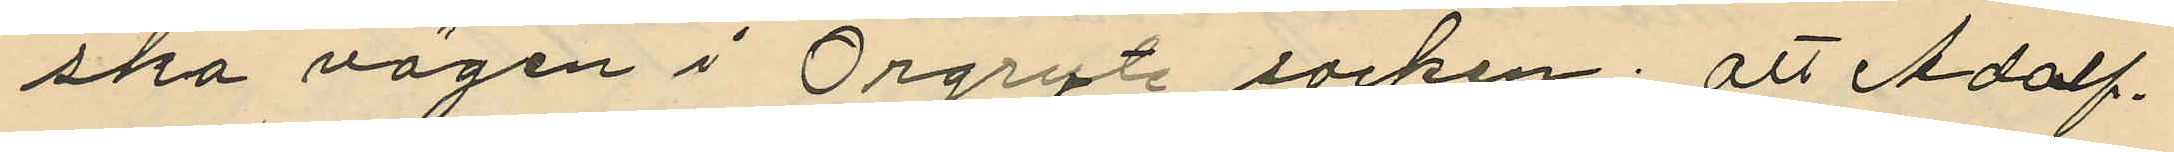ska vägen i Örgryte socken; att Adolf
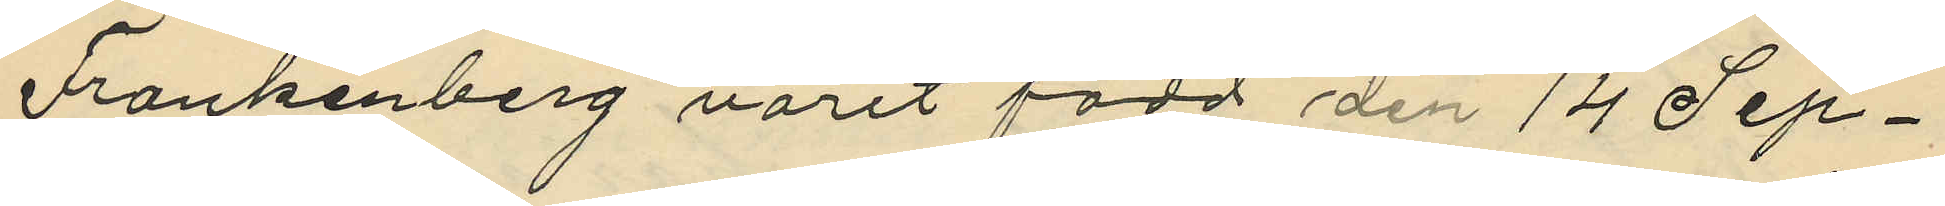Frankenberg varit född den 14 Sep¬
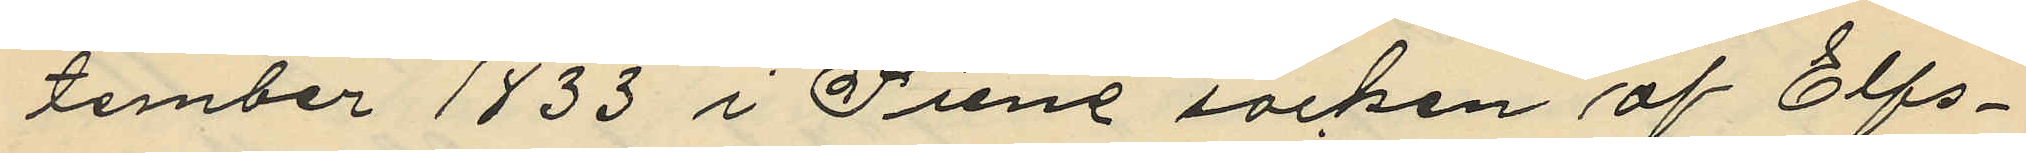tember 1833 i Siene socken af Elfs¬
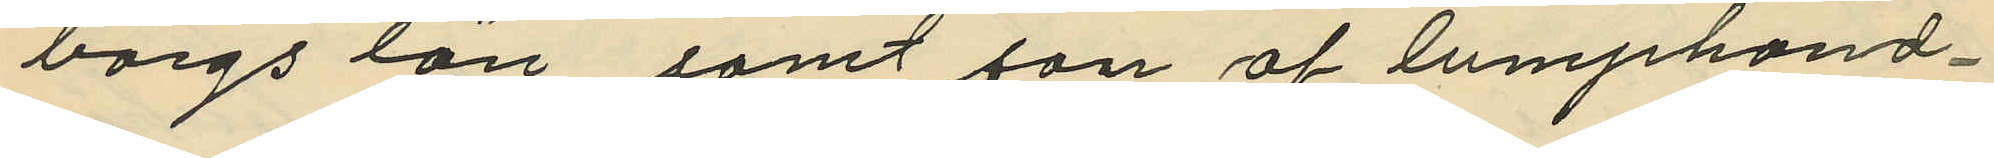borgs län samt son af lumphand¬
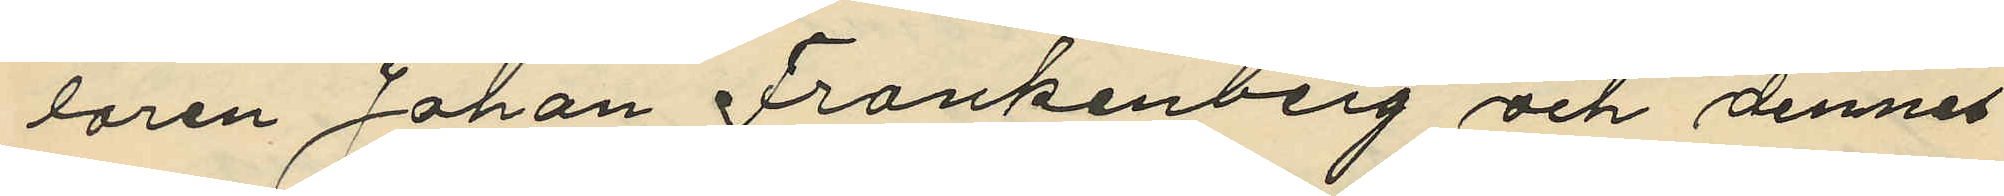laren Johan Frankenberg och dennes
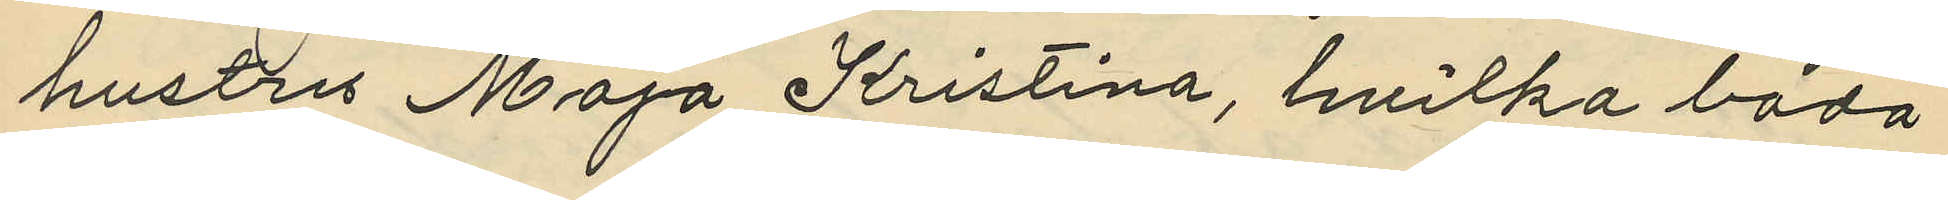hustru Maja Kristina, hvilka båda
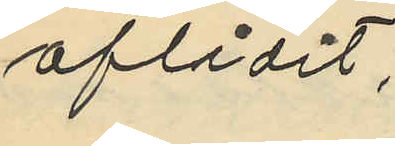aflidit;
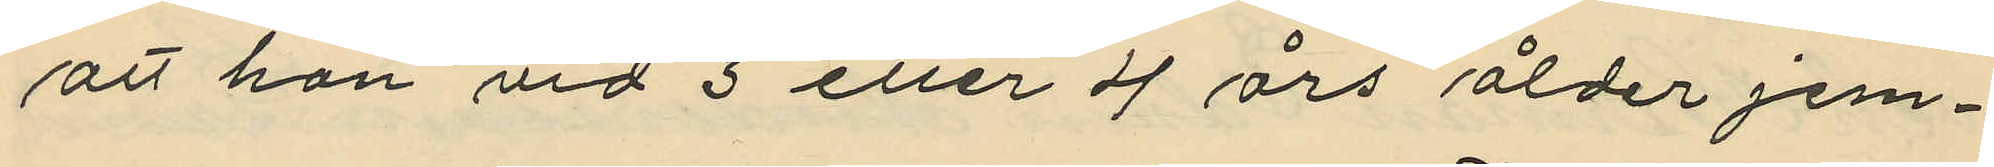att hon vid 3 eller 4 års ålder jem¬
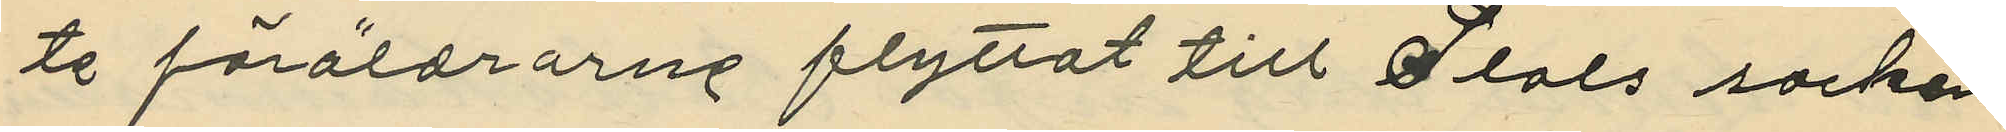te föräldrarne flyttat till Hols socken
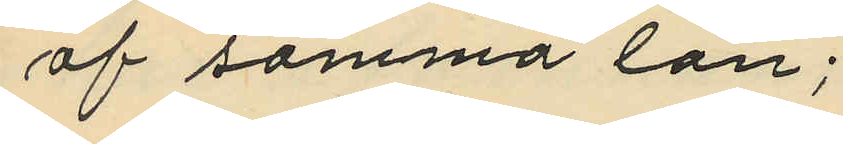af samma län;
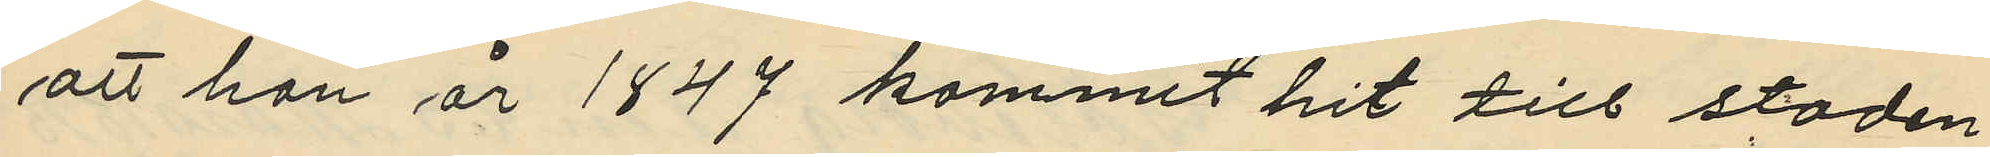att han år 1847 kommit hit till staden
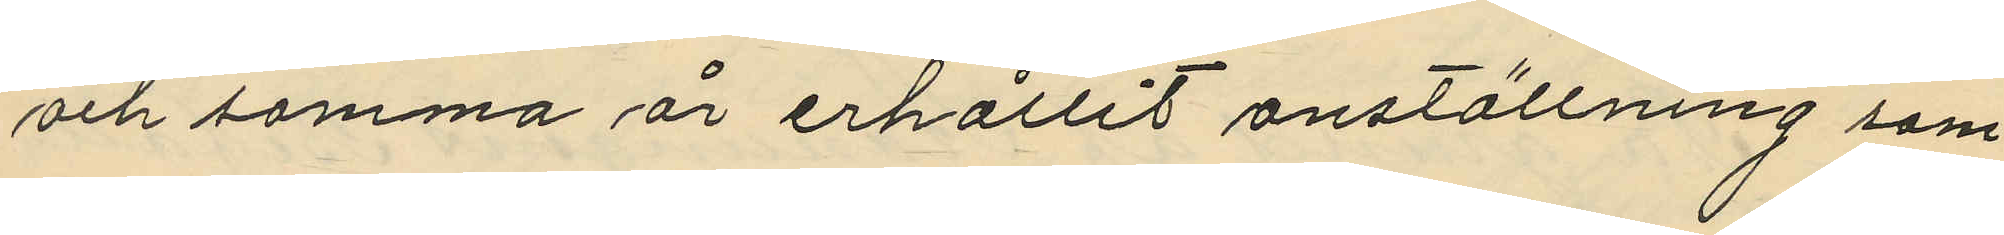och samma år erhållit anställning som
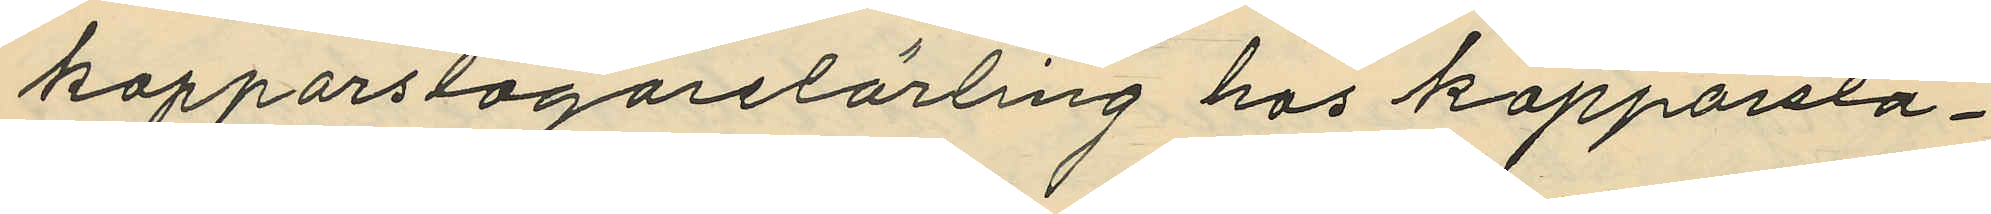kopparslagarelärling hos kopparsla¬
